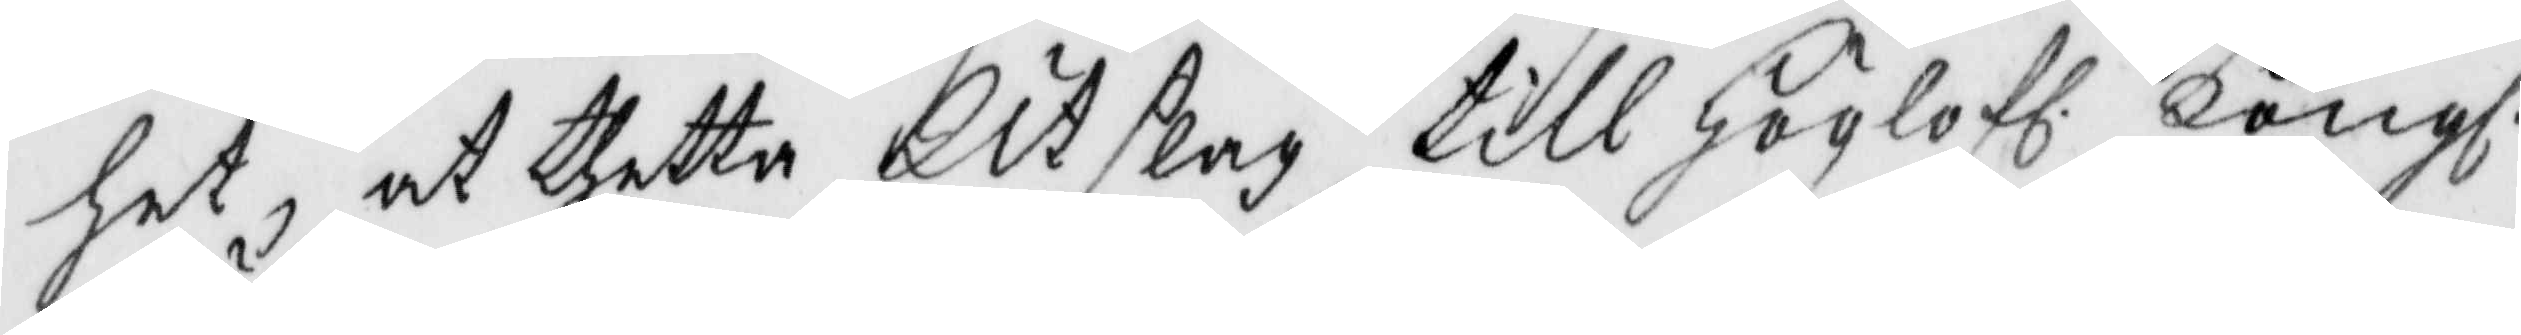het, at thetta Utslag till Höglofl. Kongl.
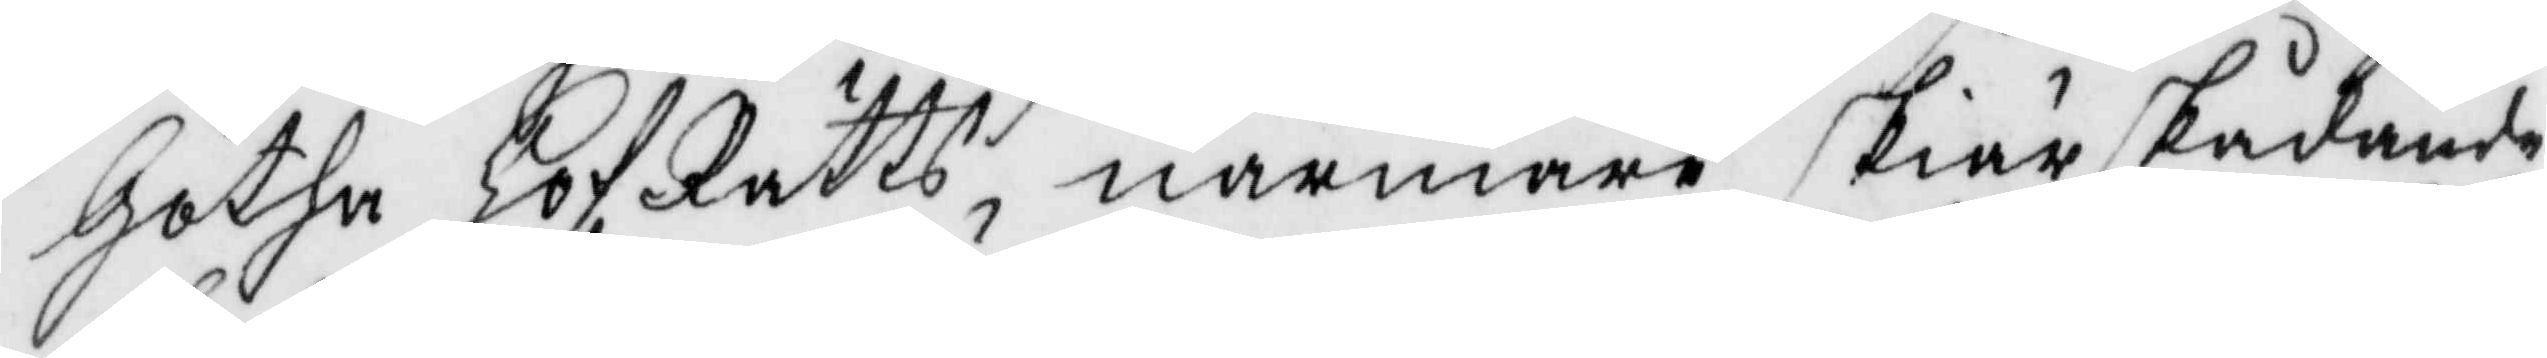Götha Hofrätts närmare skiärskådande
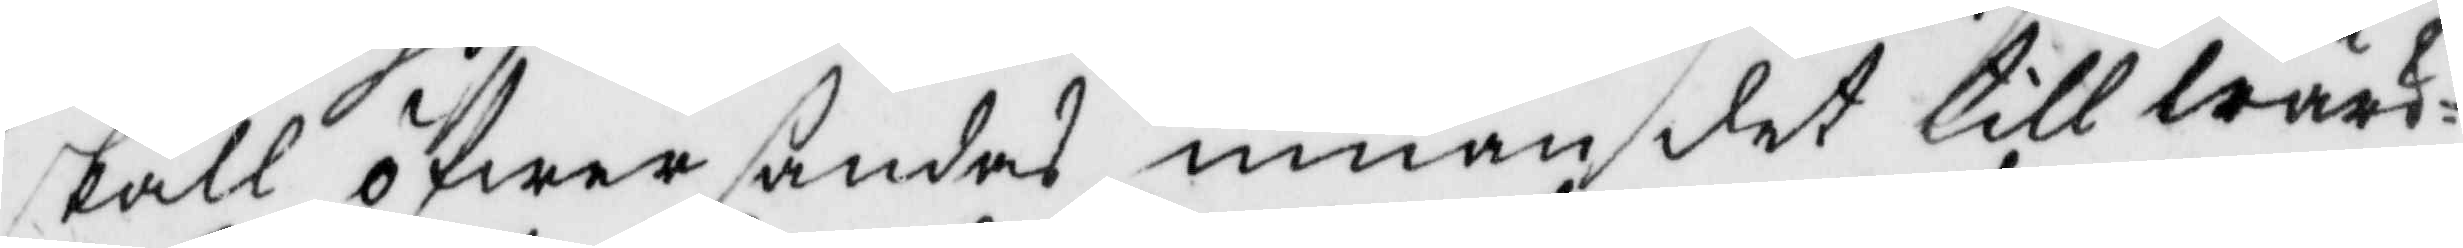skall öfwersändas innan det till wärk¬
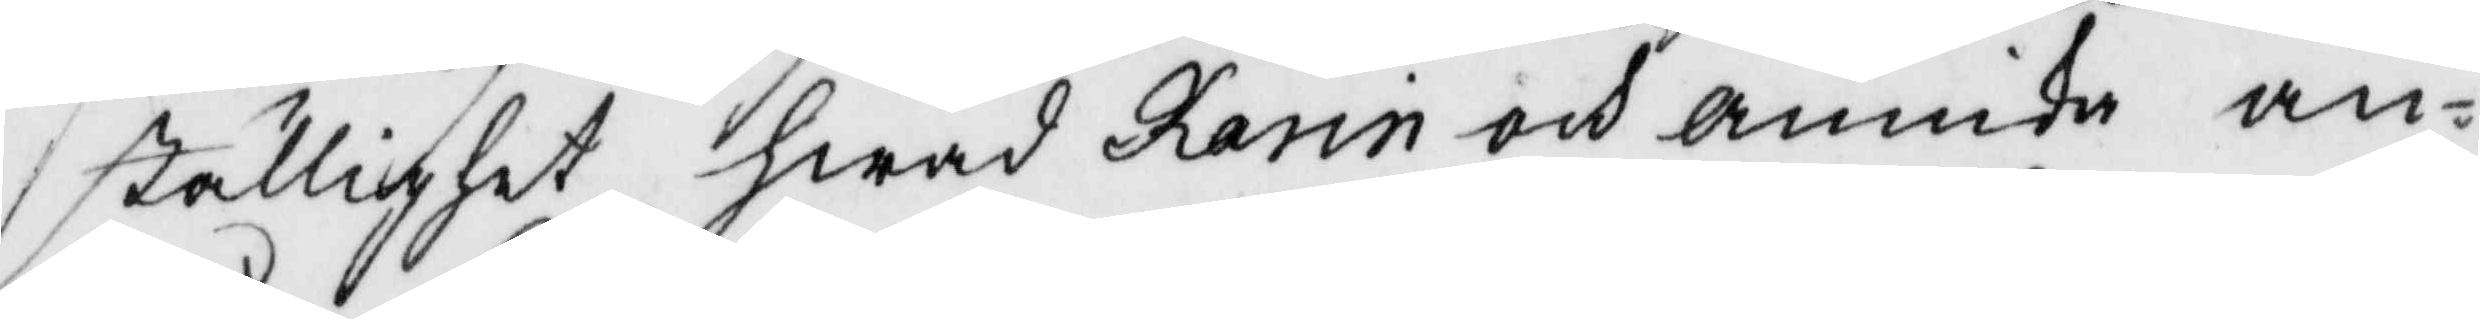ställighet hwad Karin och Annika an¬
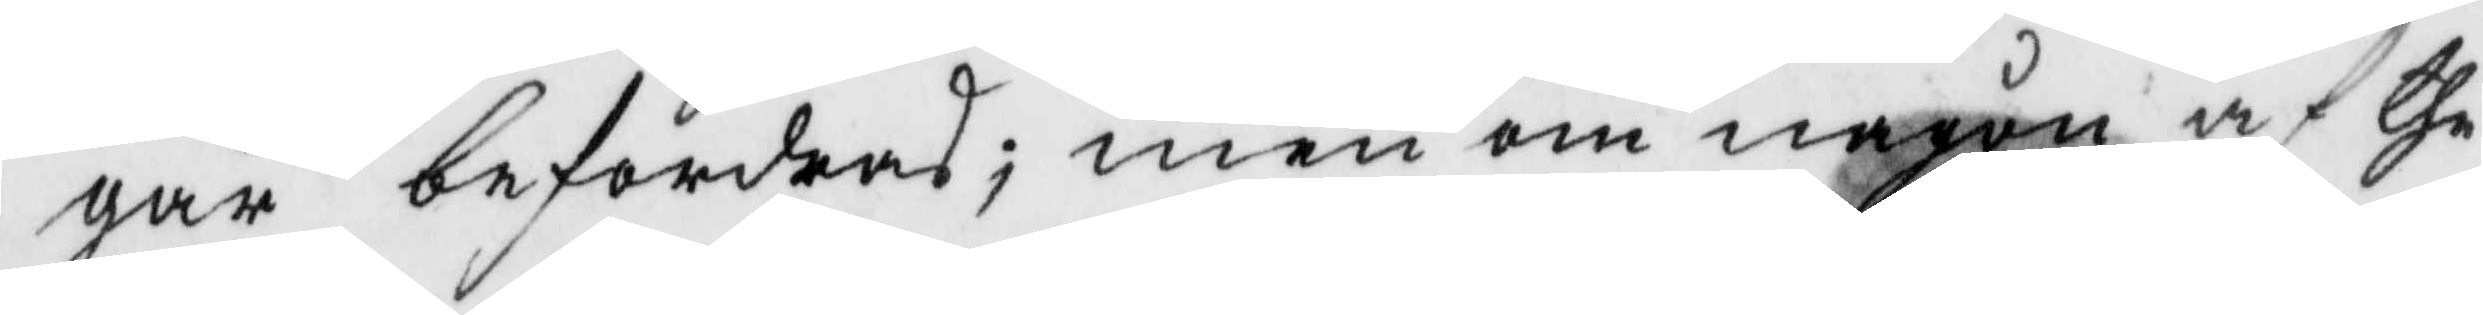går befordras; men om någon af the
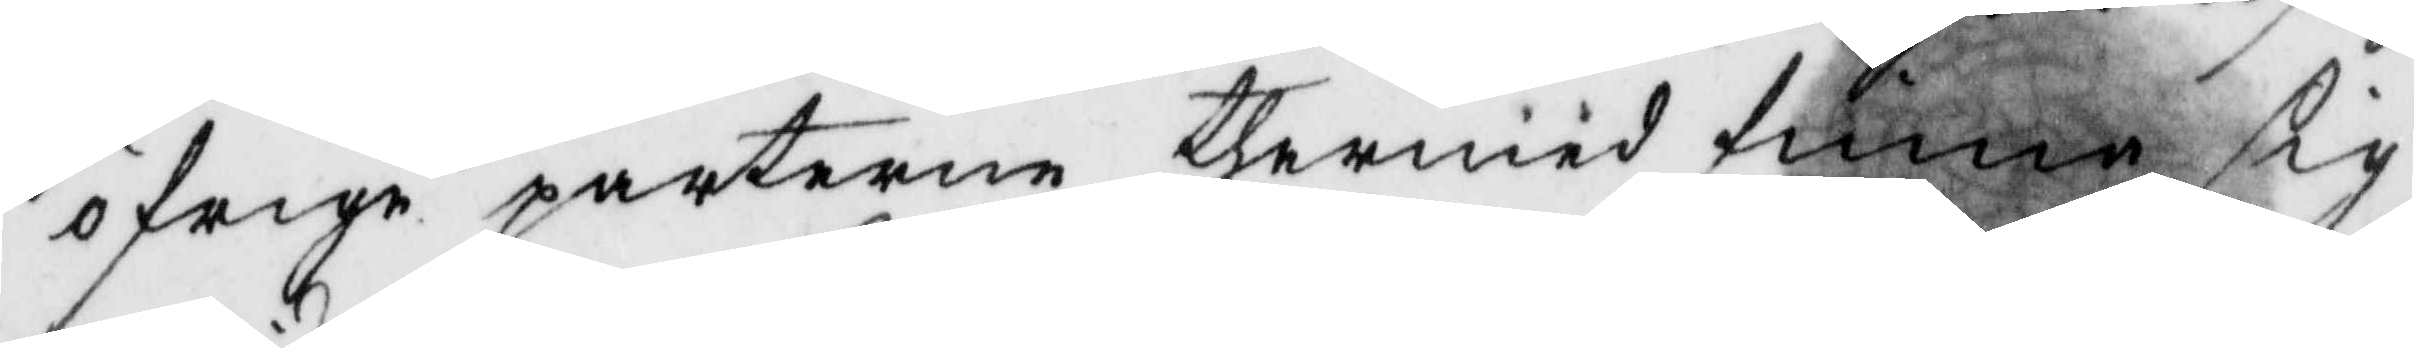öfrige parterne thermed finna sig
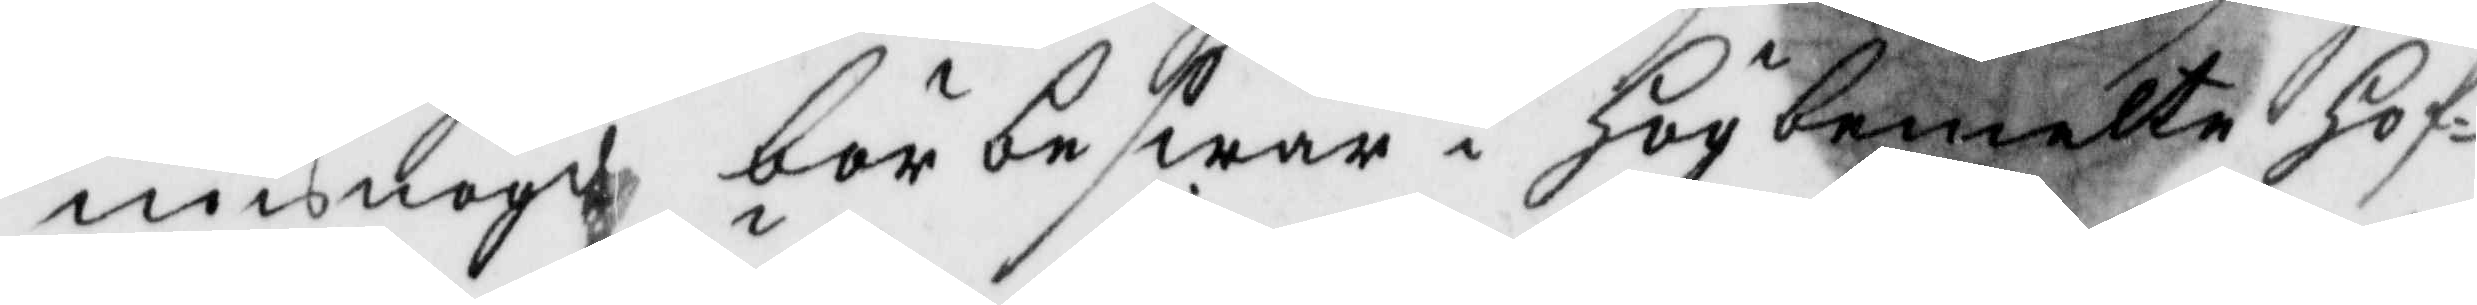misnögd bör beswär i Högbemelte Hof¬
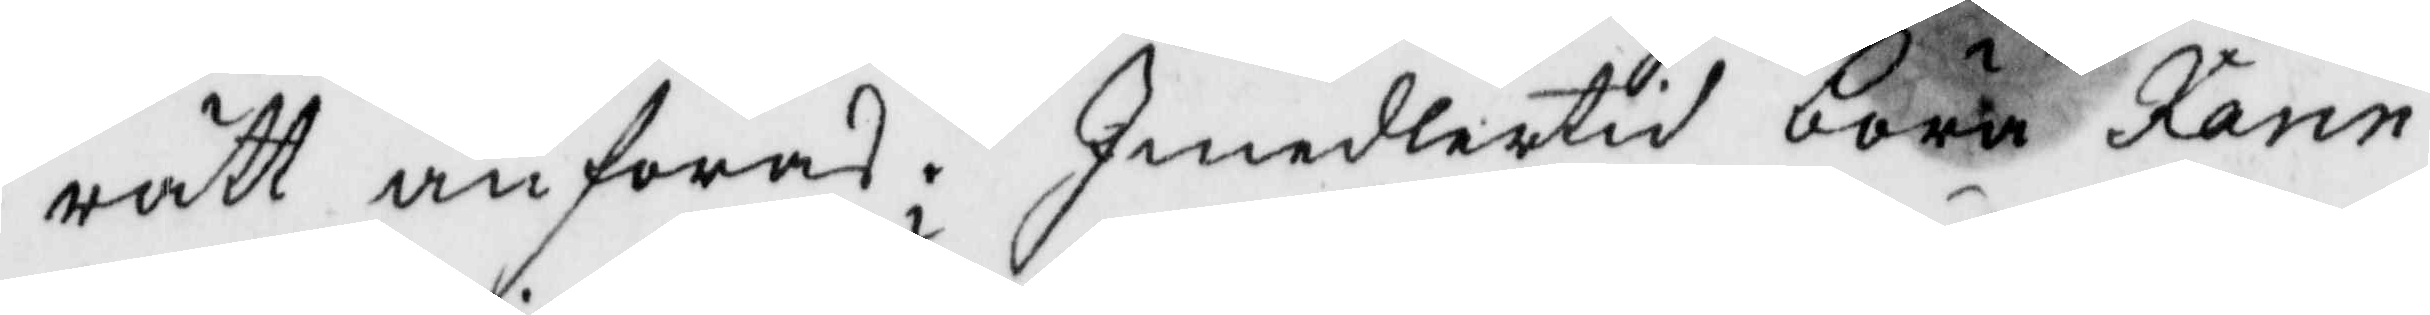rätt anföras. Imedlertid böra karin
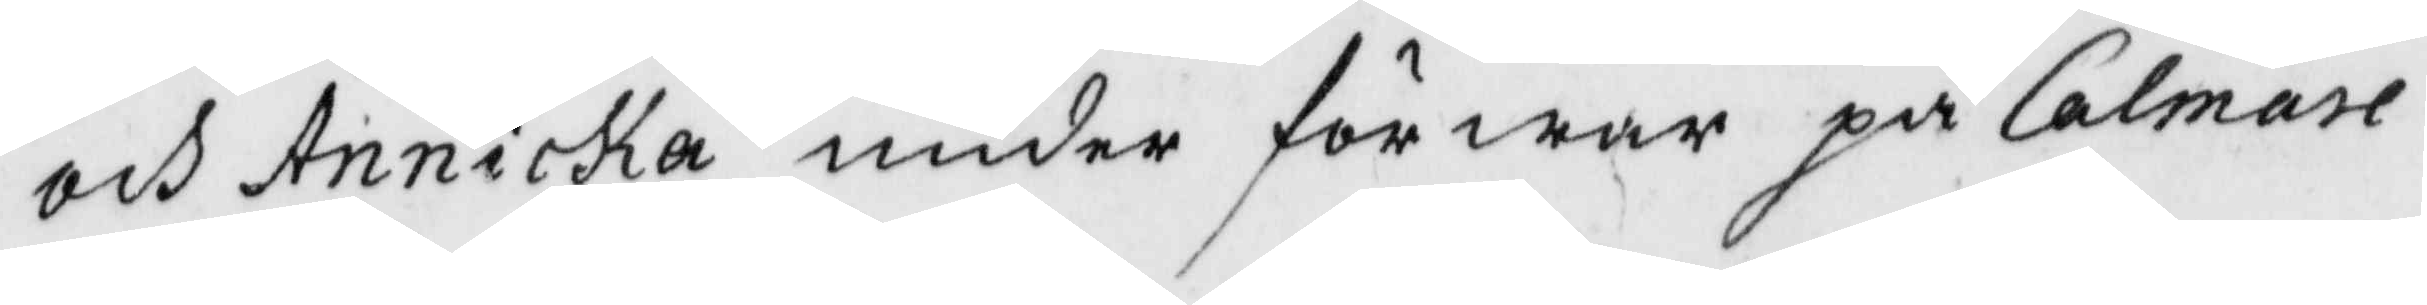och Annika under förwar på Calmare
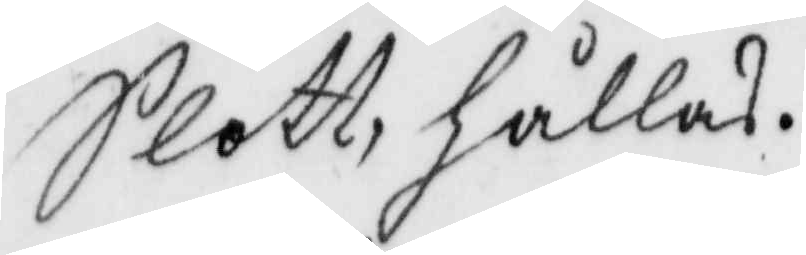Slott hållas.
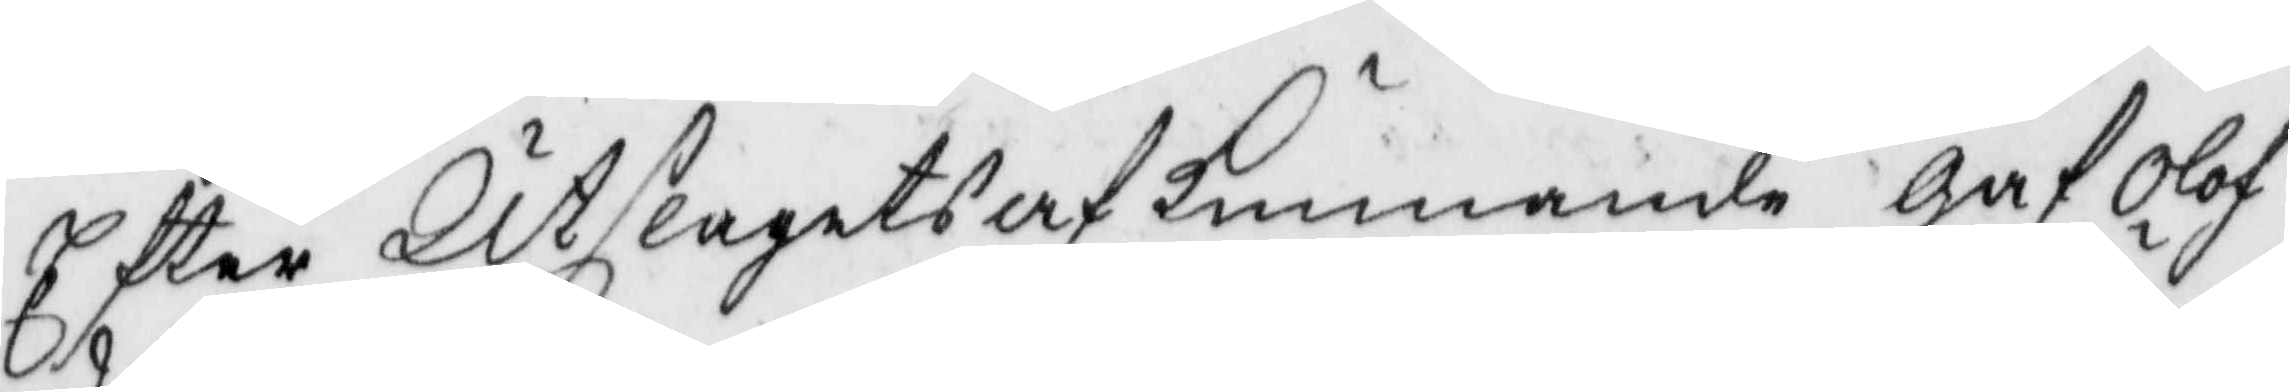Efter Utslagets af Kunnande gaf Olof
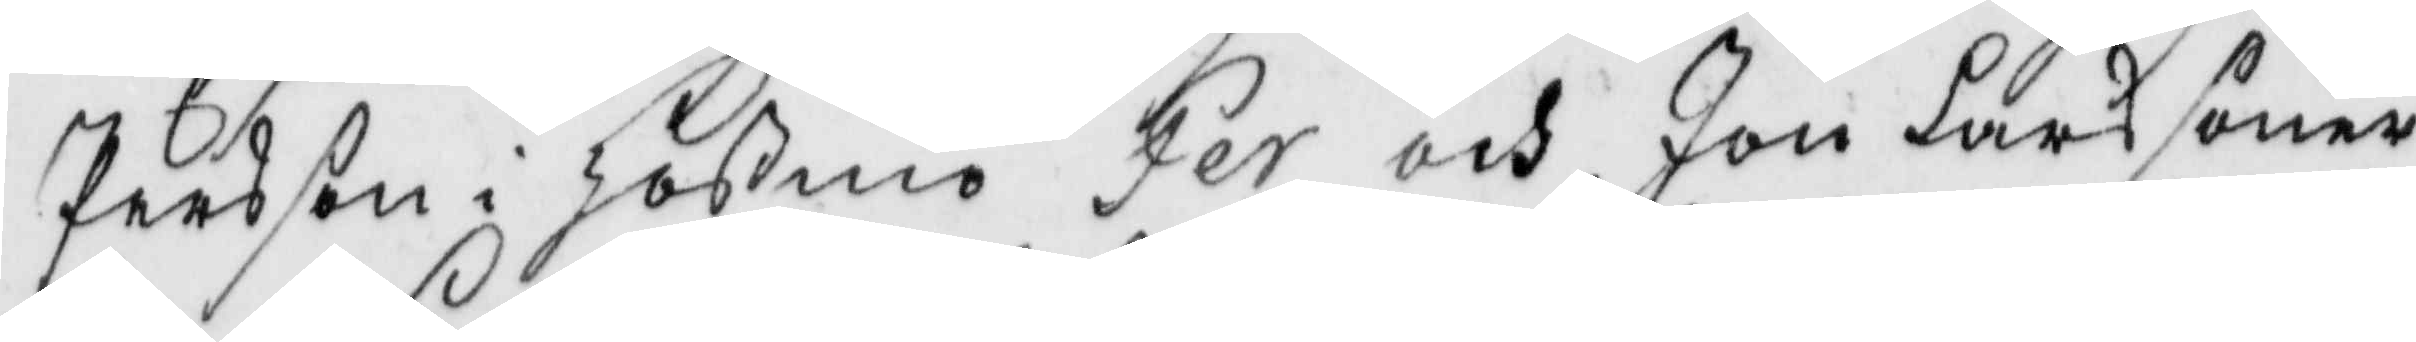Persson i Hößmo Per och Jon Lars söner
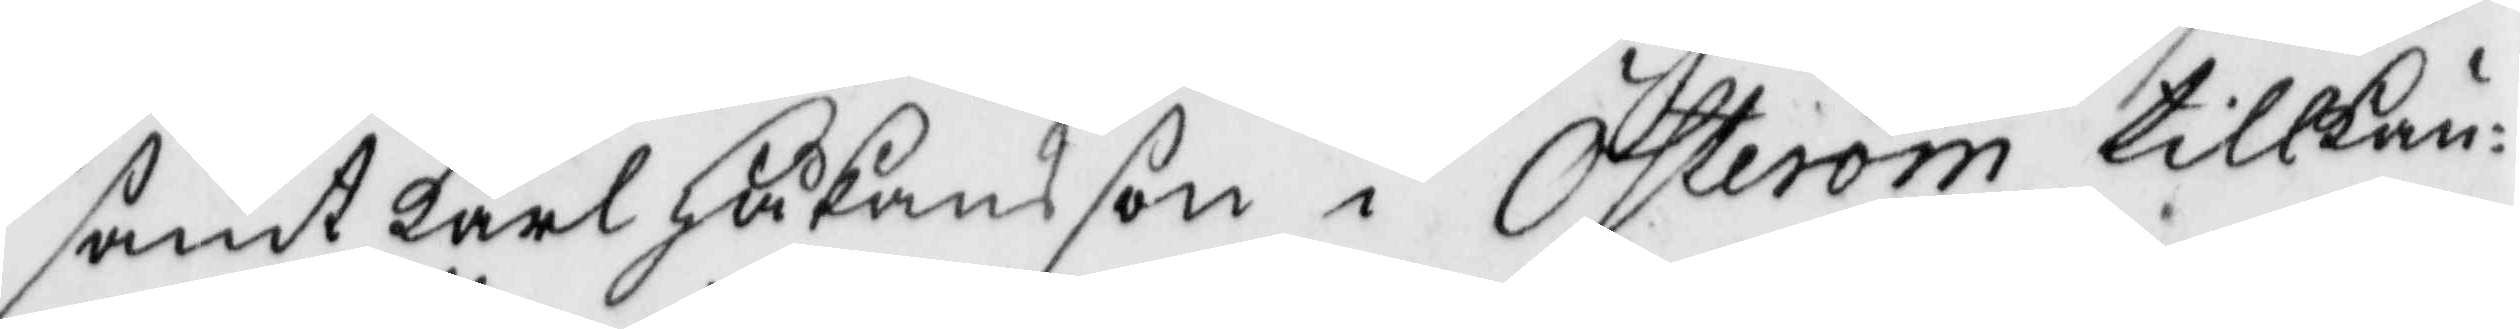samt Karl Håkansson i Österöm tillkän¬
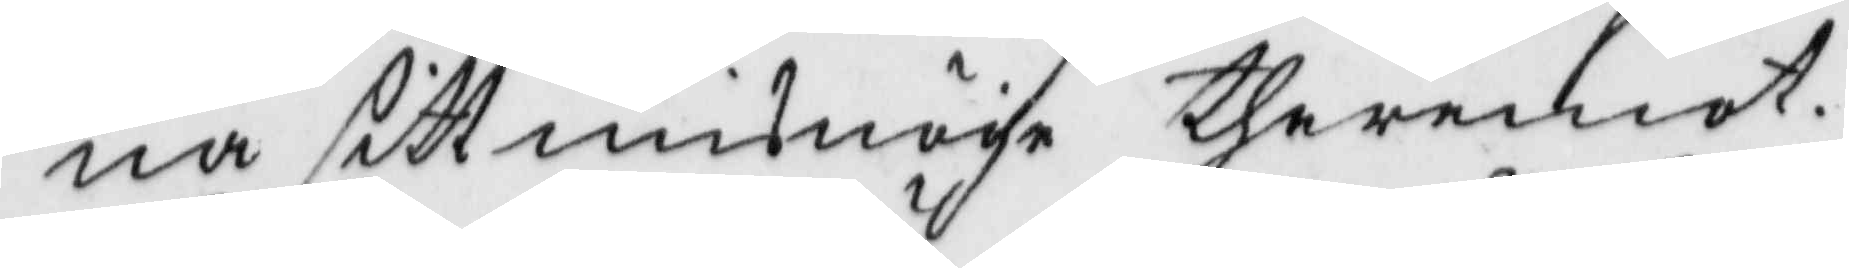na sitt misnöge theremot.
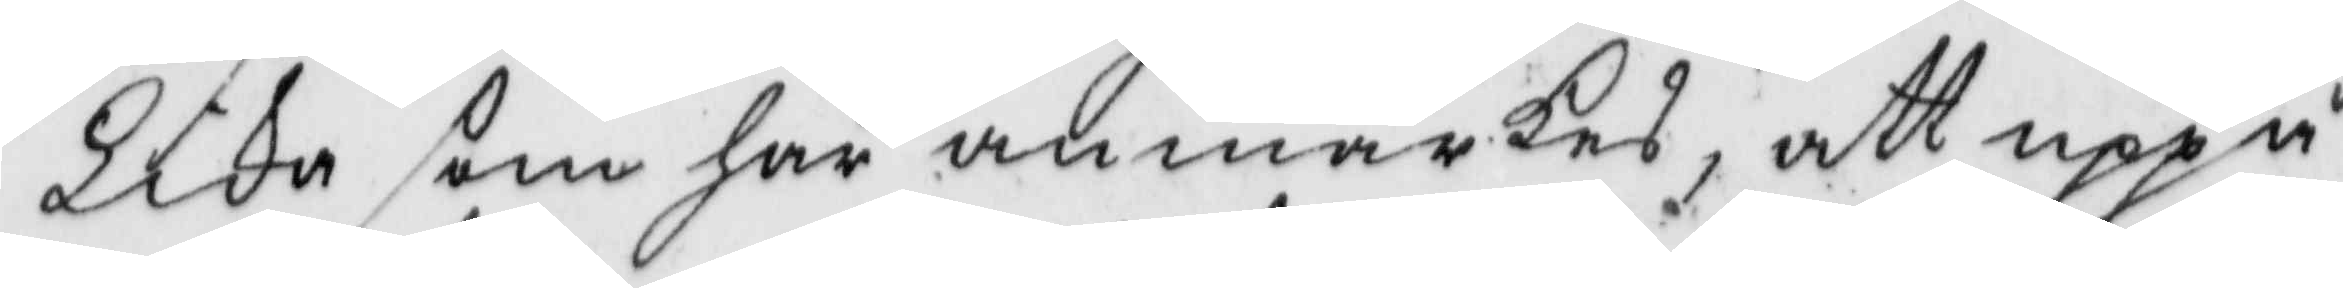Lika som här anmärkes, att uppå
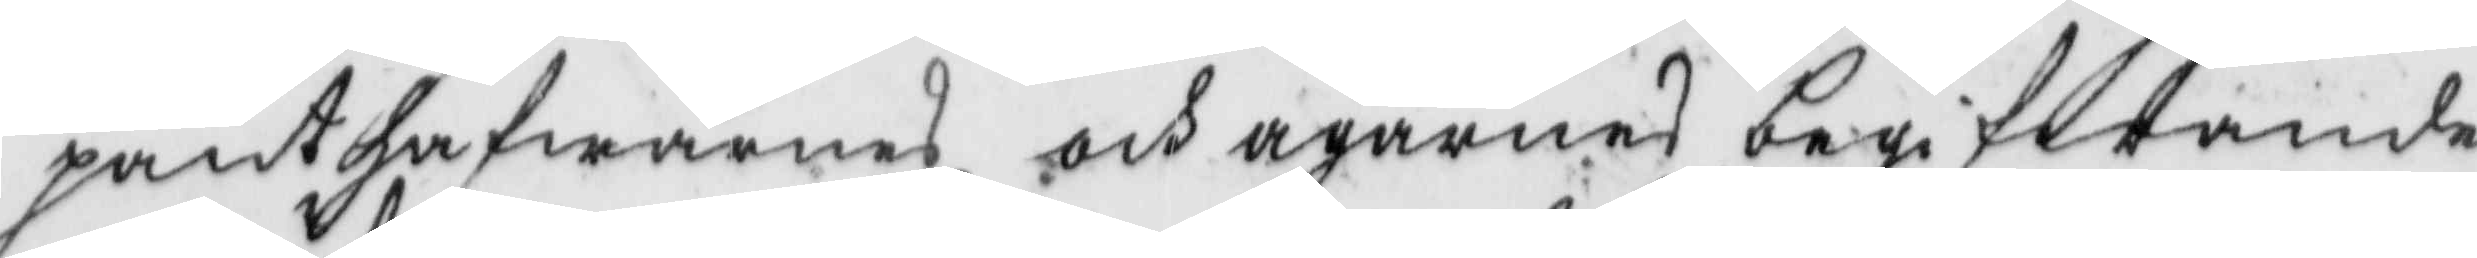panthafwarnes och ägarnes begifwande
